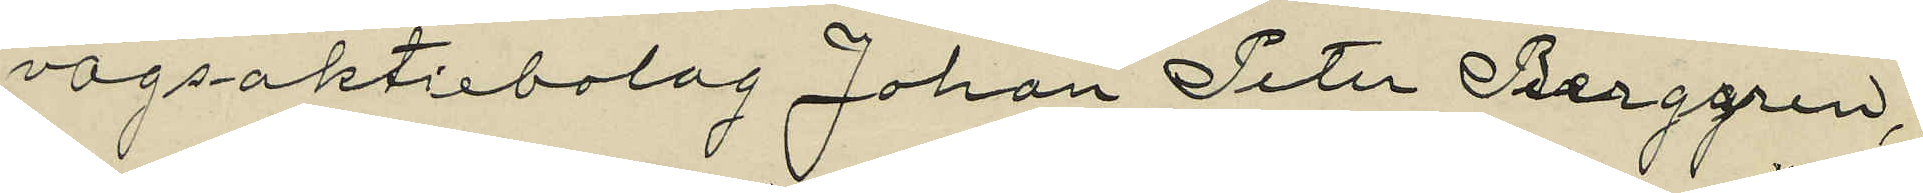vägsaktiebolag Johan Peter Berggren,
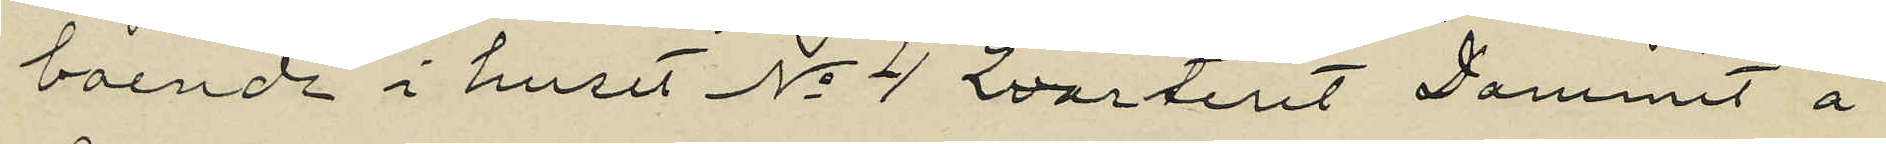boende i huset No 4 Kvarteret "Dammet" å 
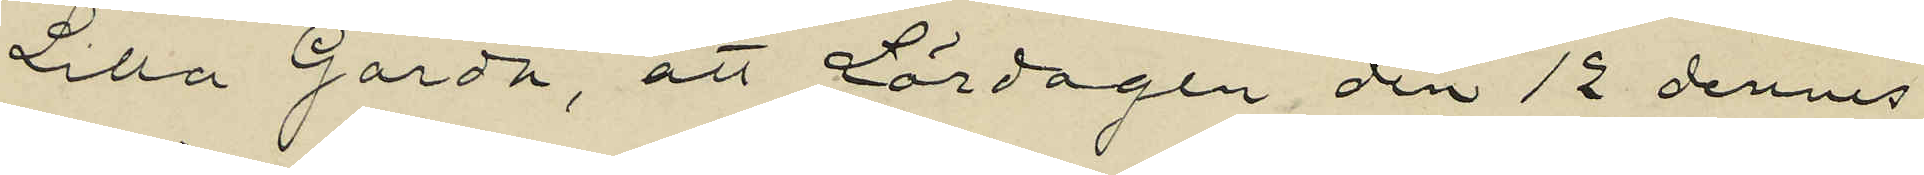Lilla Gårda, att Lördagen den 12 dennes
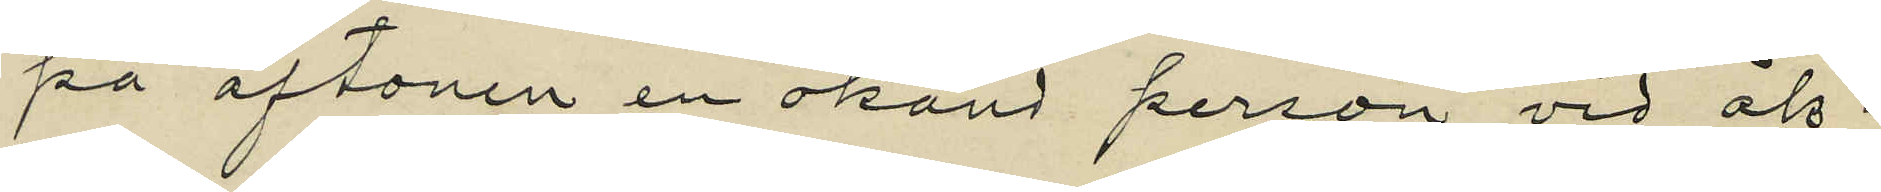på aftonen en okänd person vid åk¬
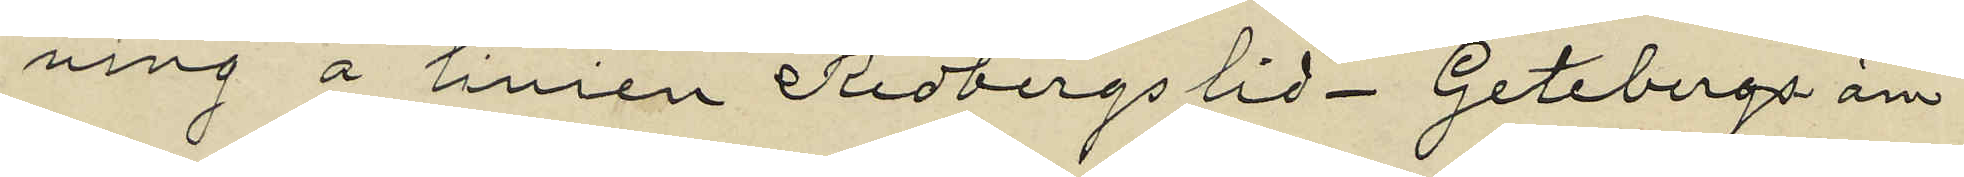ning å linien Redbergslid - Getebergs än¬
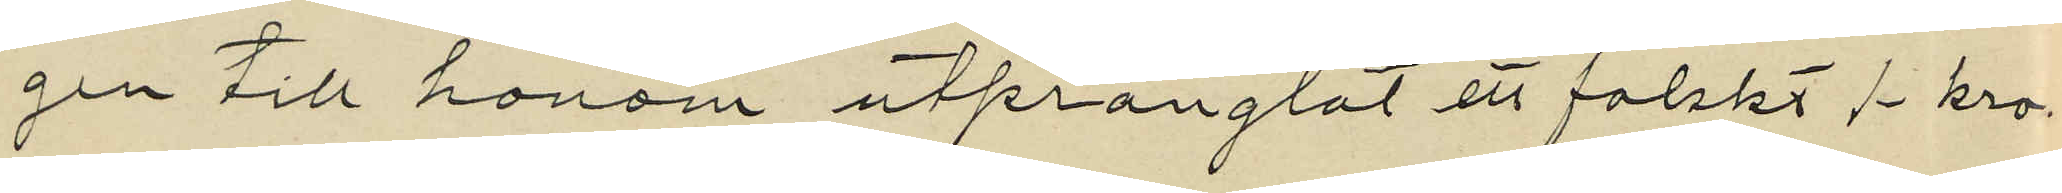gen till honom utprånglat ett falskt 1 kro¬
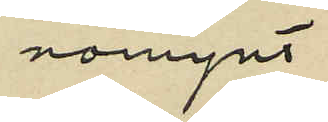nomynt.
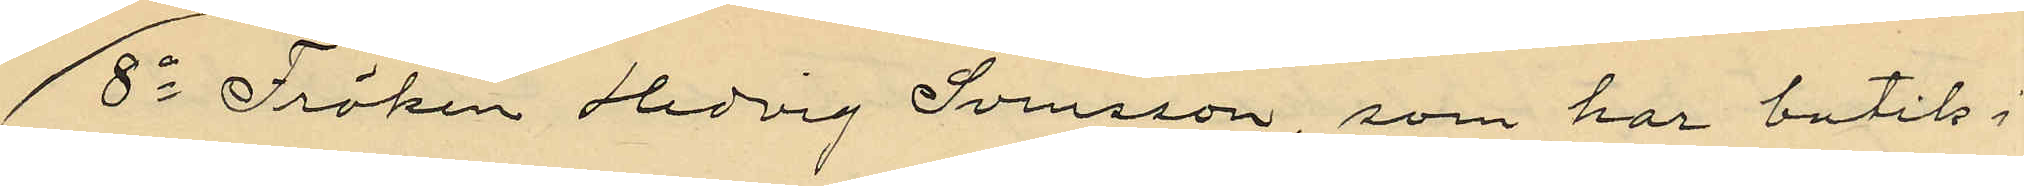8o Fröken Hedvig Svensson, som har butik i
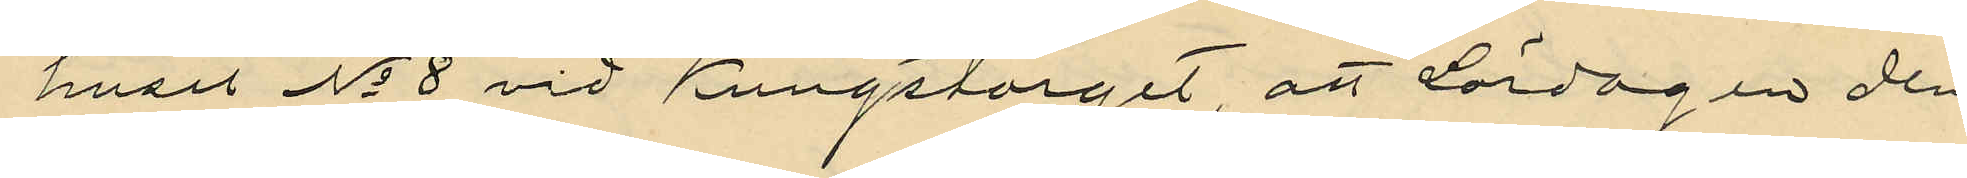huset No 8 vid Kungstorget, att Lördagen den
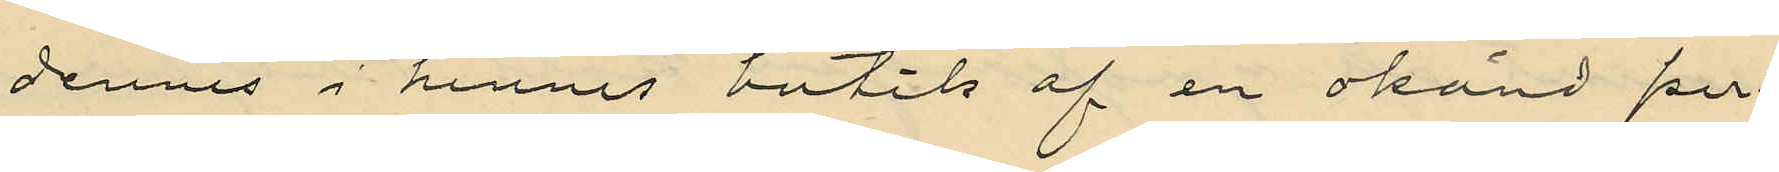? dennes i hennes butik af en okänd per¬
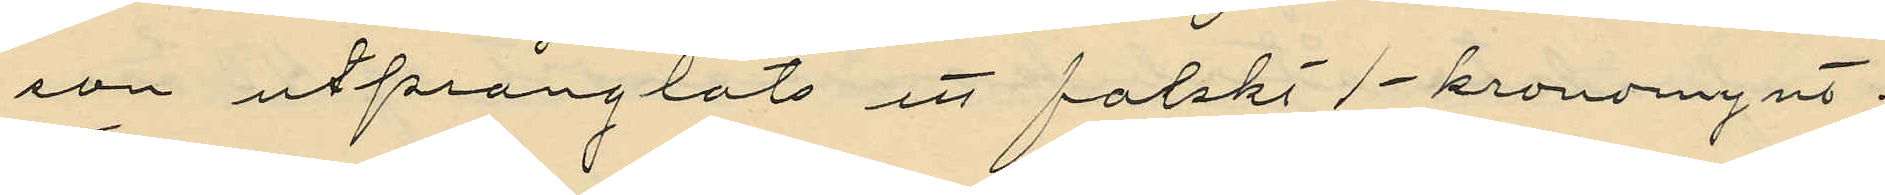son utprånglats ett falskt 1-kronomynt.
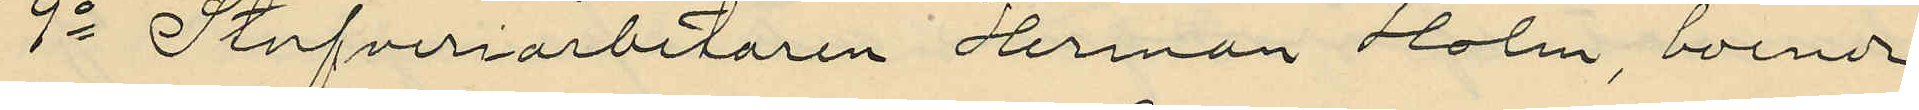9o Stufveriarbetaren Herman Holm, boende
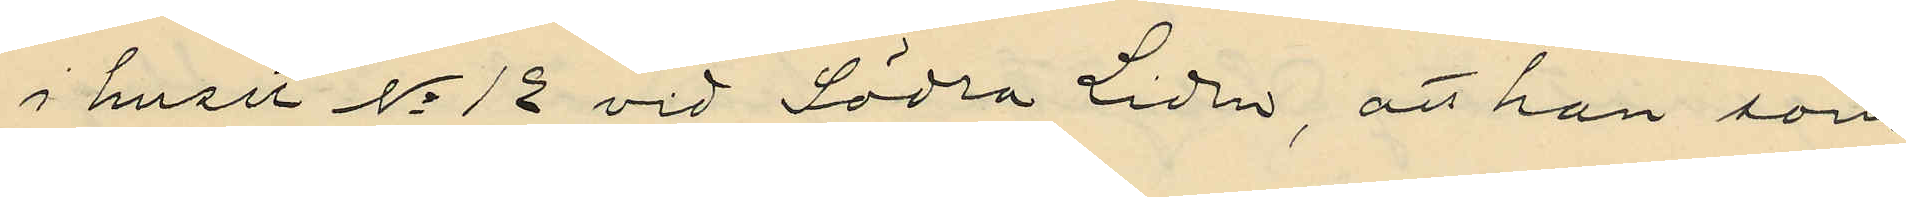i huset No 12 vid Södra Liden, att han som
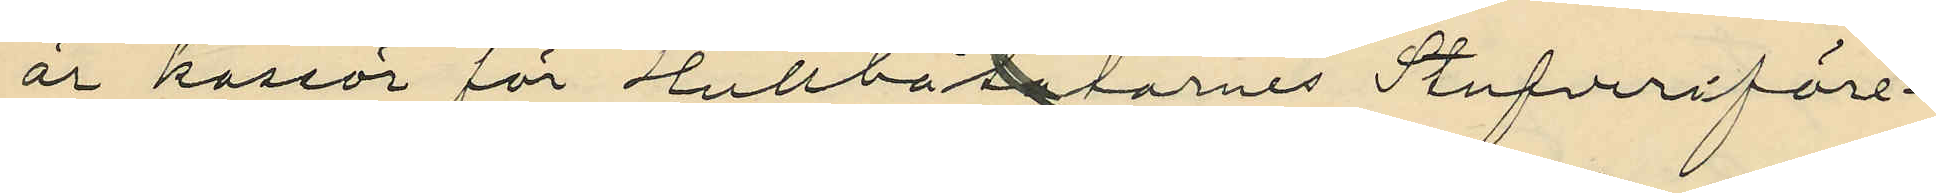är kassör för Hullbåtarnes Stufveriföre¬
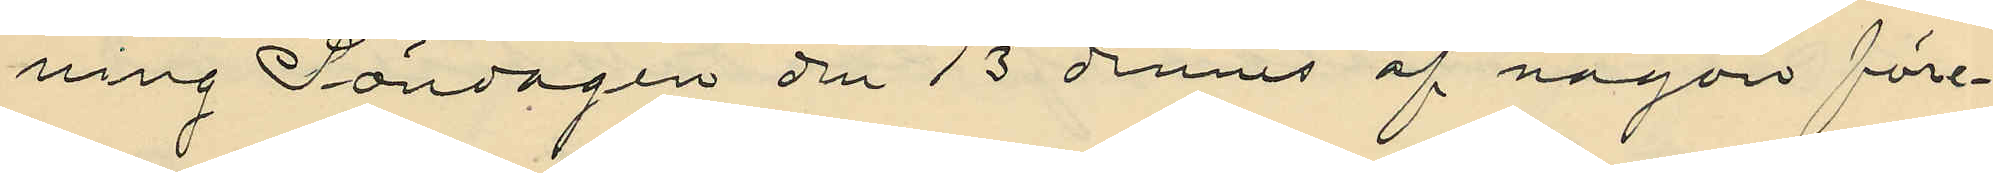ning Söndagen den 13 dennes af någon före¬
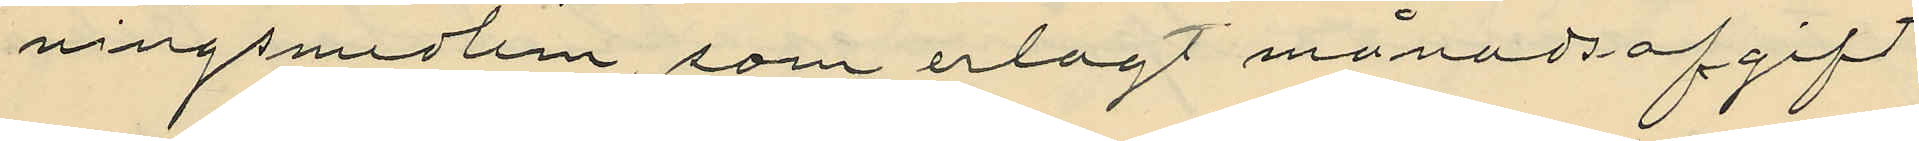ningsmedlem, som erlagt månadsafgift
